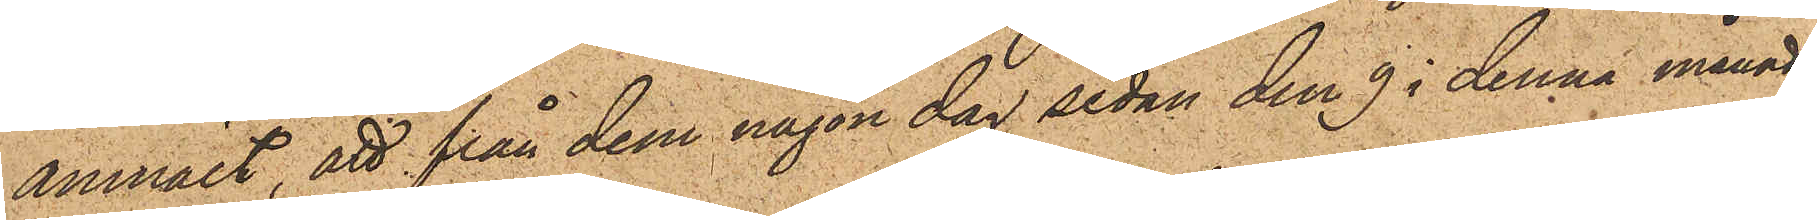anmält, att från dem någon dag sedan den 9 i denna månad
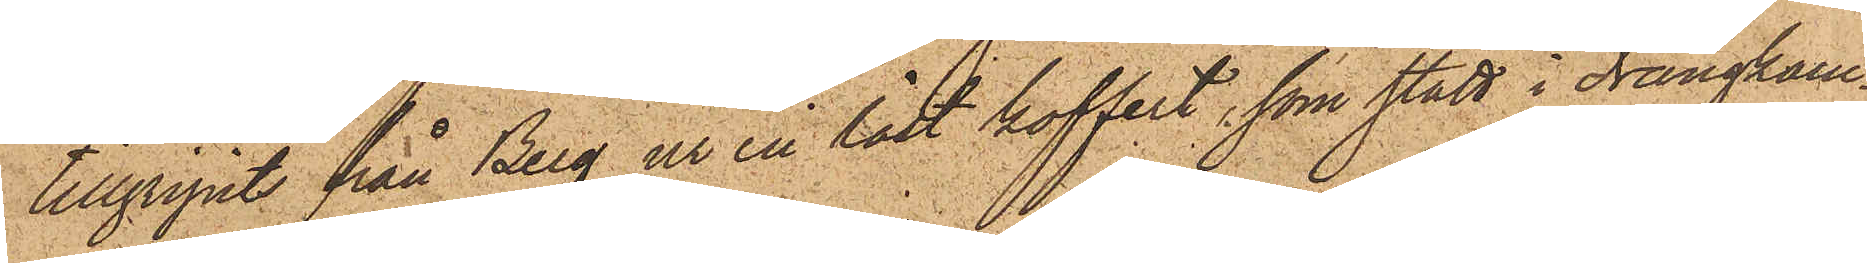tillgripits från Berg ur en låst koffert, som stått i drängkam¬
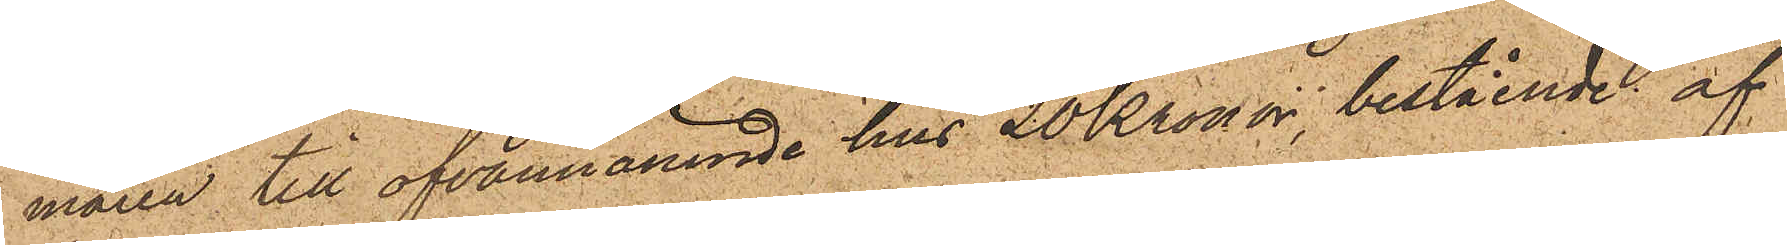maren till ofvannämnde hus 20 Kronor, bestående af
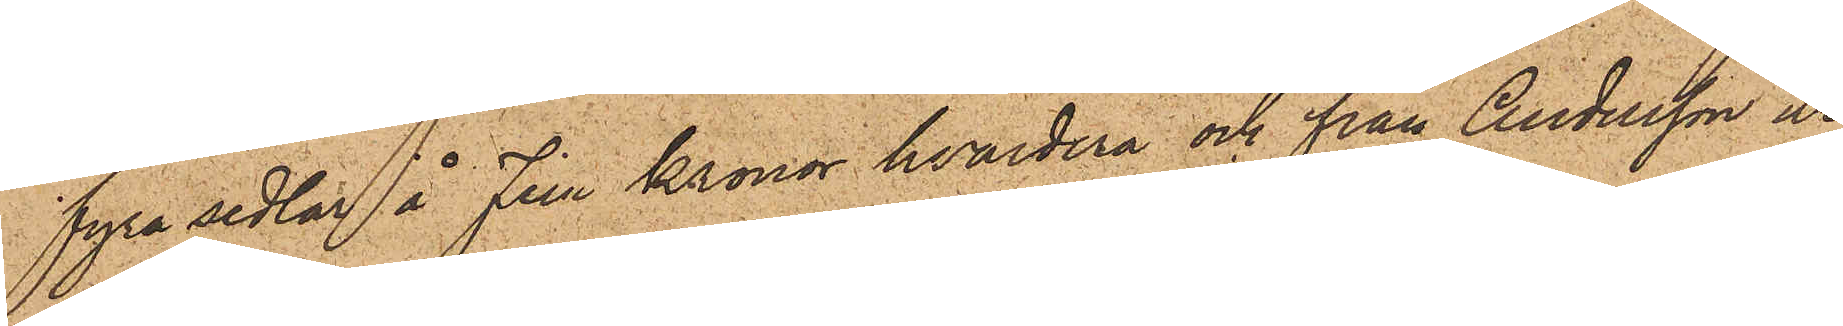fyra sedlar å Fem Kronor hvardera och från Andersson ur
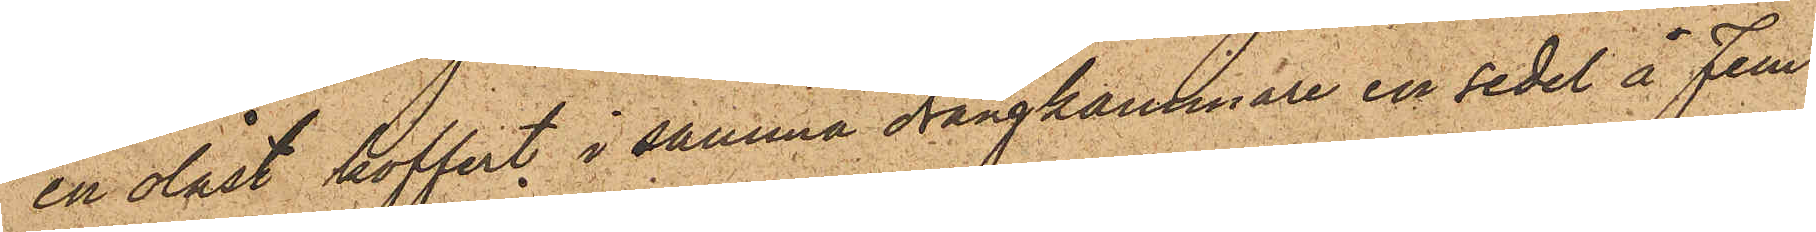en olåst koffert i samma drängkammare en sedel å Fem
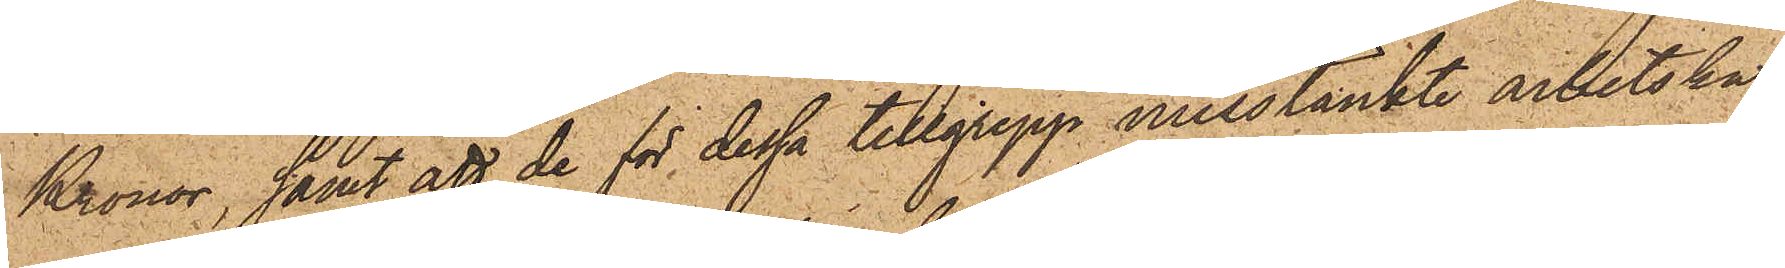Kronor, samt att de för dessa tillgrepp misstänkte arbetskar¬
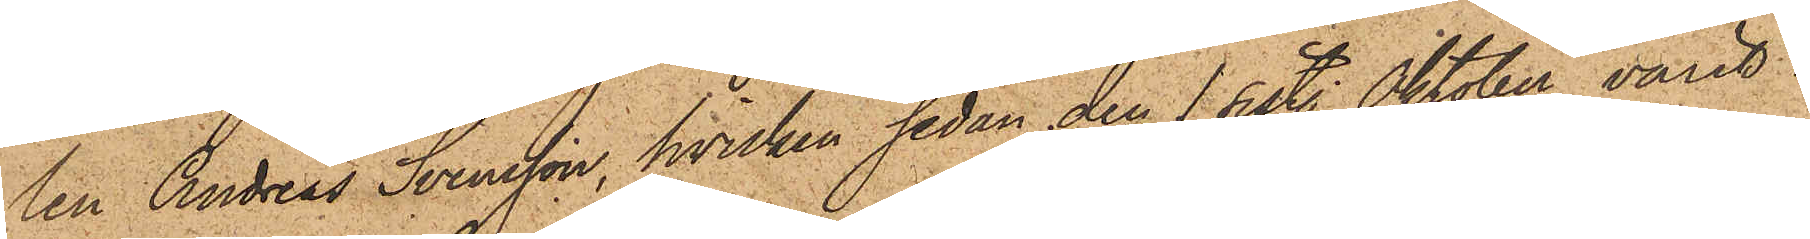len Andreas Svensson, hvilken sedan den 1 sist. Oktober varit i
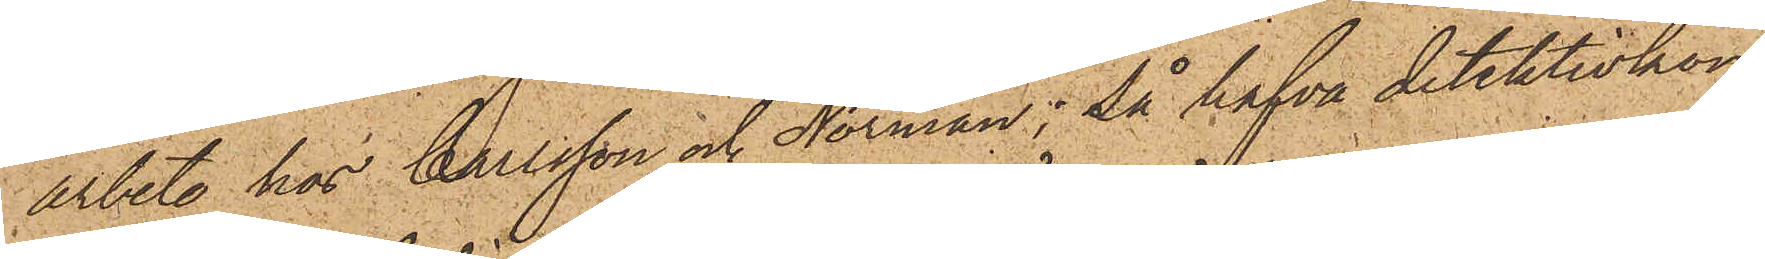arbete hos Carlsson och Norman; så hafva detektivkon¬
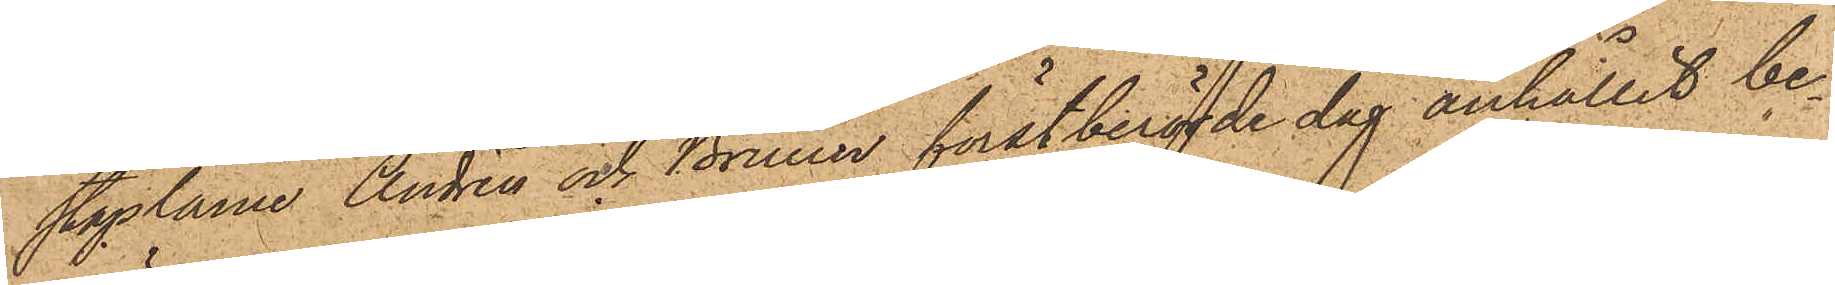staplarne Andrèn och Bruun förstberörde dag anhållit be¬
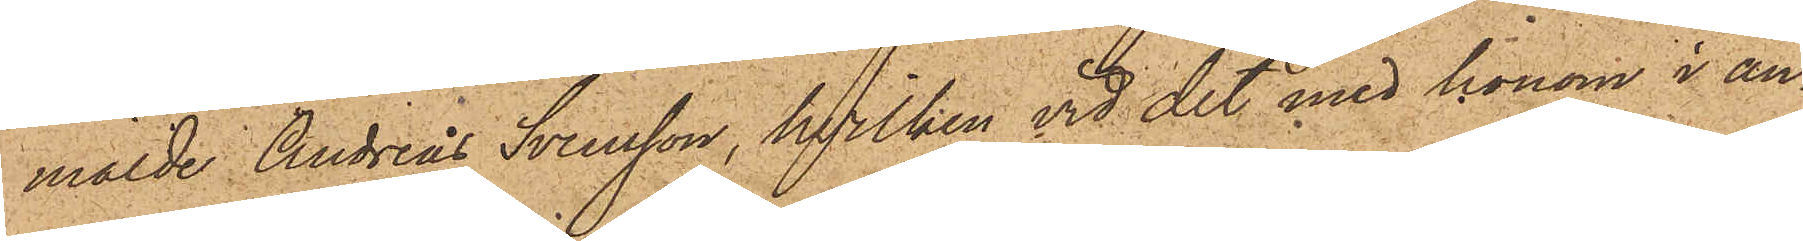mälde Andreas Svensson, hvilken vid det med honom i an¬
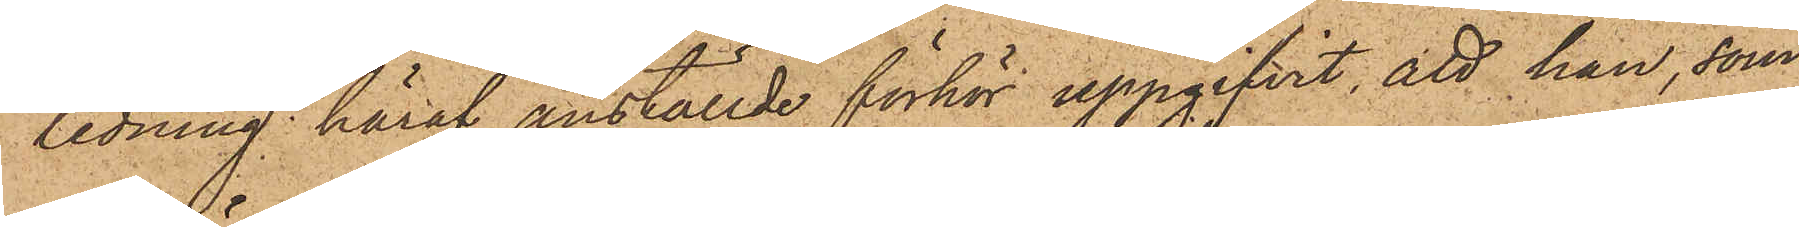ledning häraf anställde förhör uppgifvit, att han, som
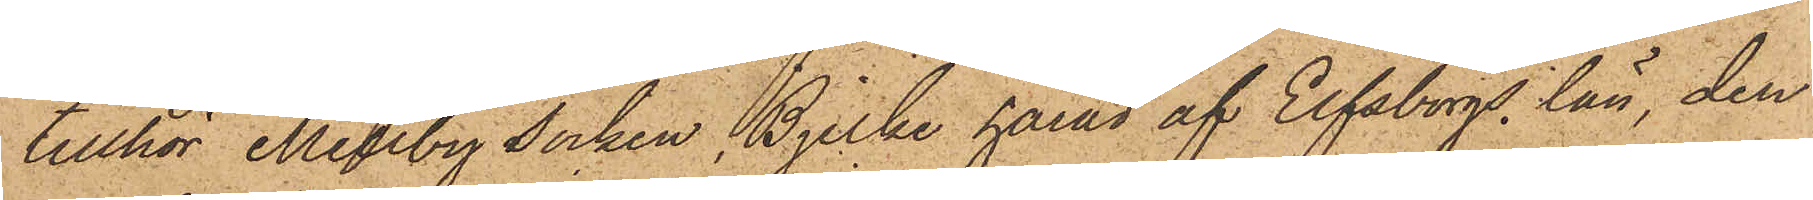tillhör Mellby Socken Bjerke härad af Elfsborgs län, den
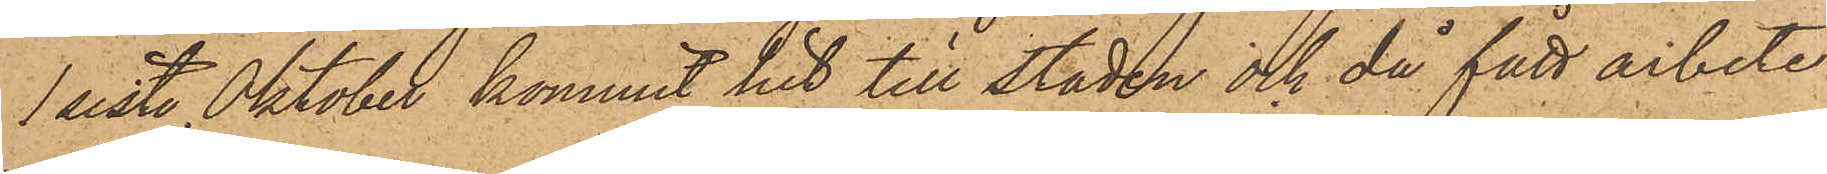1 sist. Oktober kommit hit till staden och då fått arbete
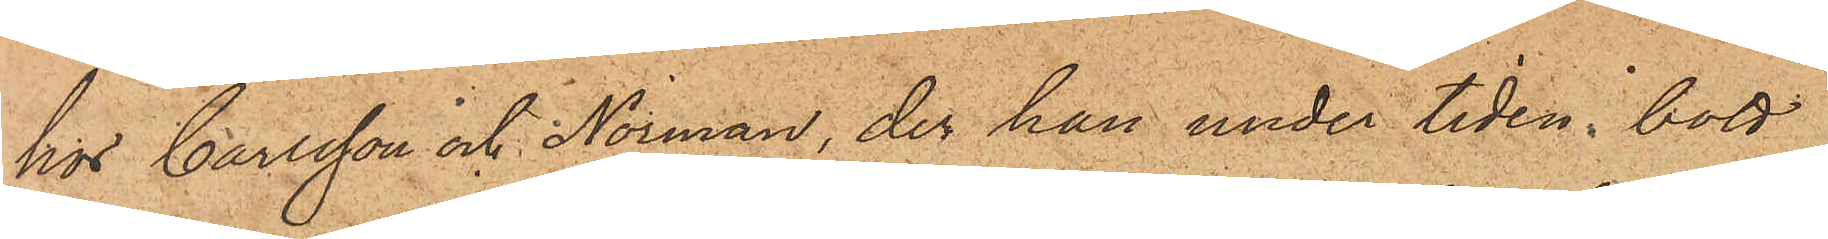hos Carlsson och Norman, der han under tiden bott
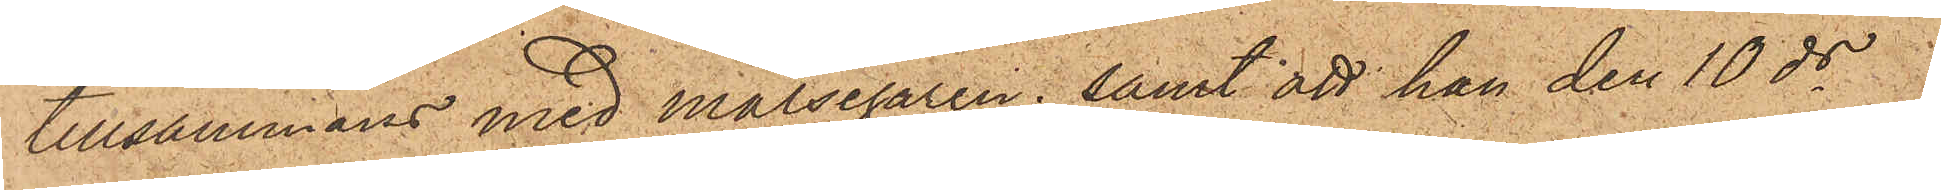tillsammans med målsegaren; samt att han den 10 ds
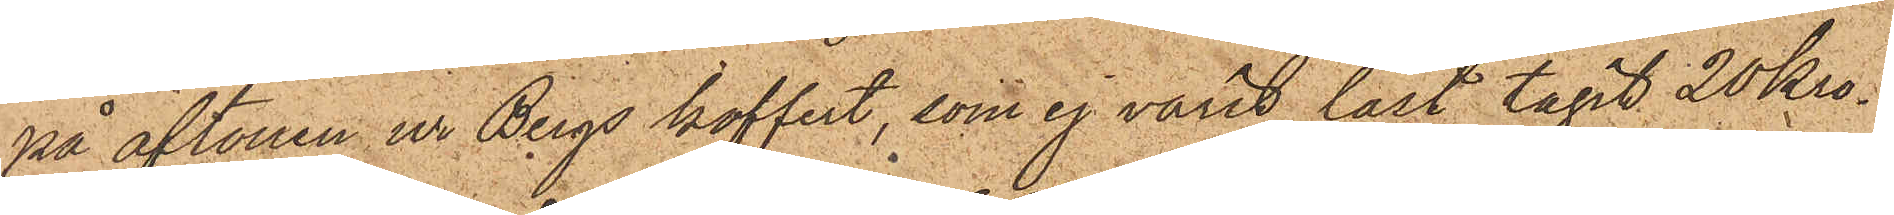på aftonen ur Bergs koffert, som ej varit låst, tagit 20 Kro¬
